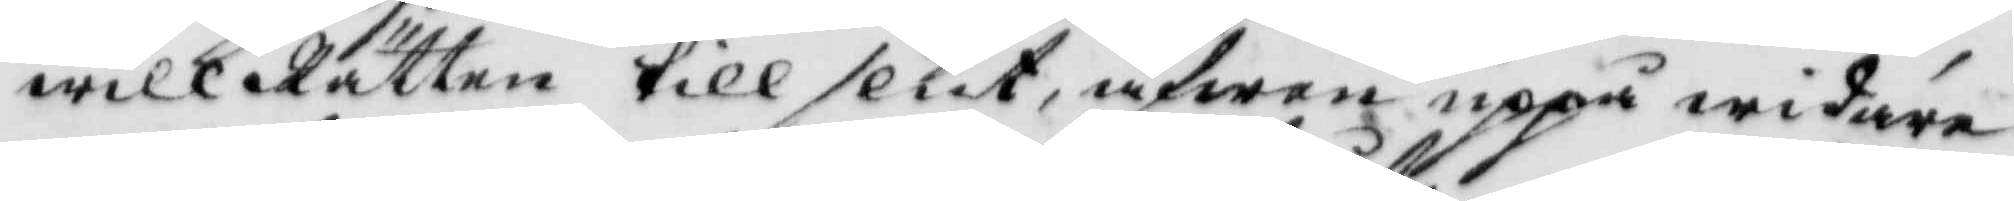will Rätten till slut äfwen uppå widare
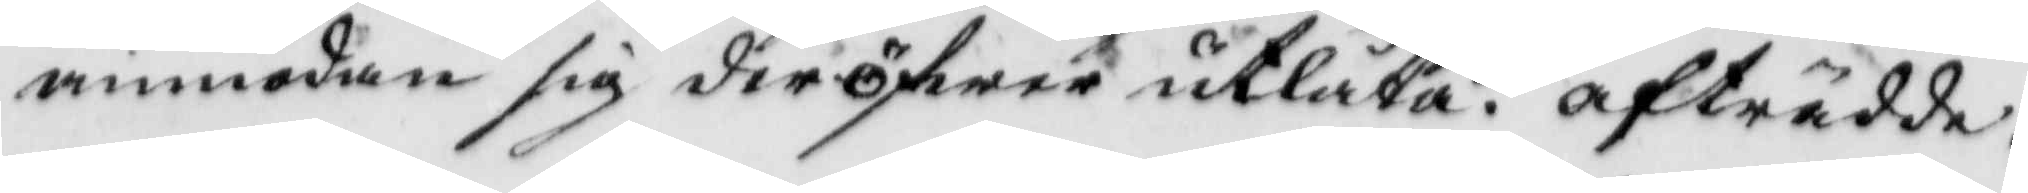anmodan sig deröfwer utlåta. afträdde.
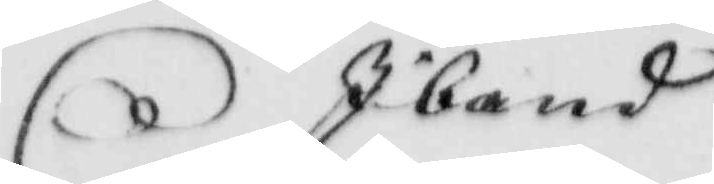Ibland
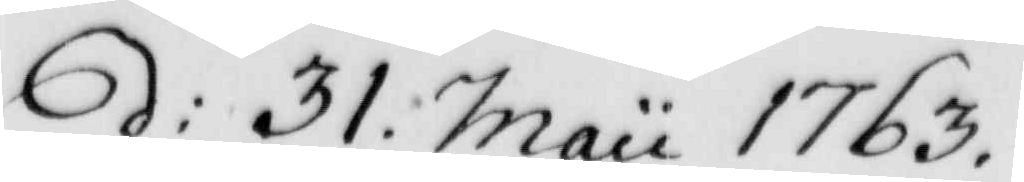d: 31. Maii 1763.
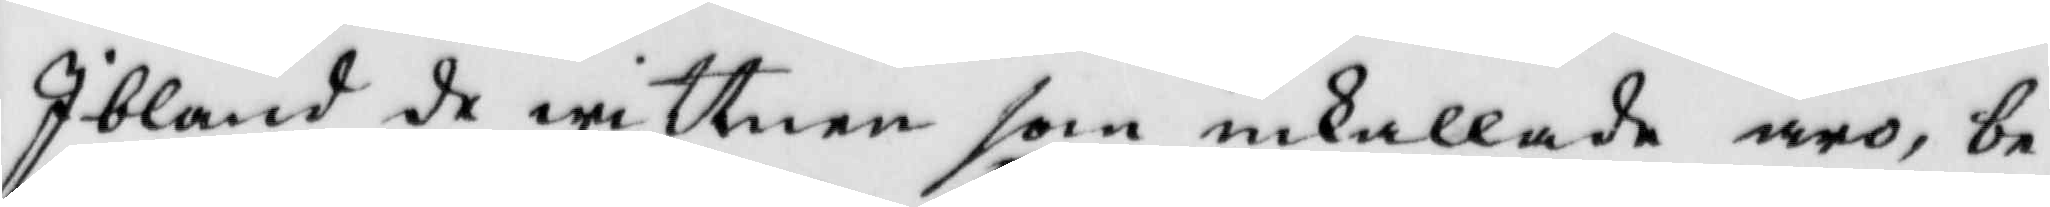Ibland de wittnen som inkallade äro, be¬
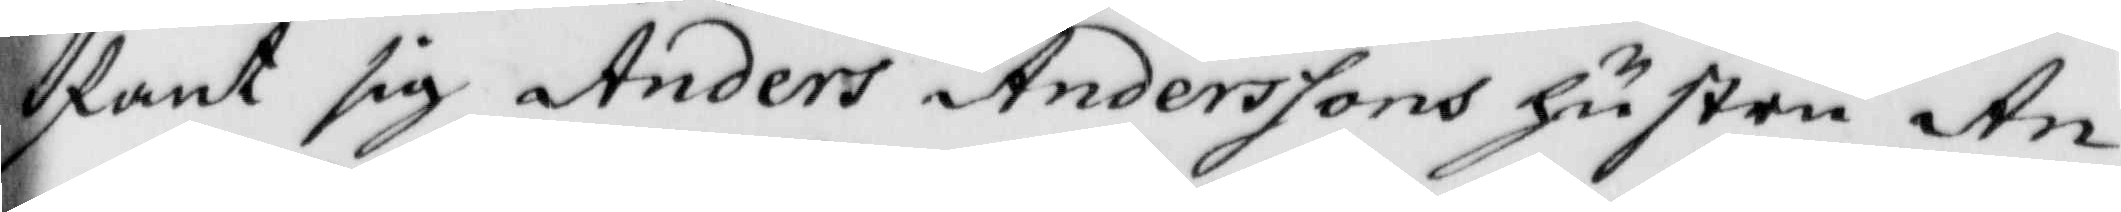fant sig Anders Anderssons hustru An¬
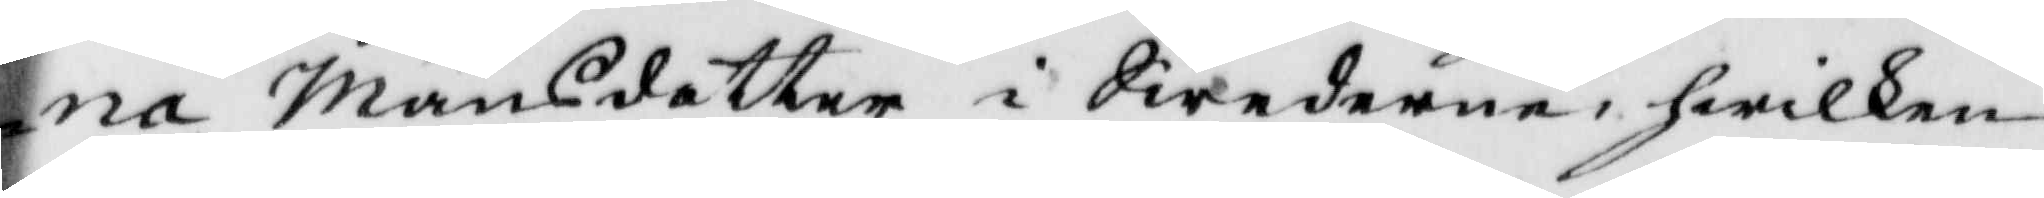na Månsdotter i Swedwenw, hwilken
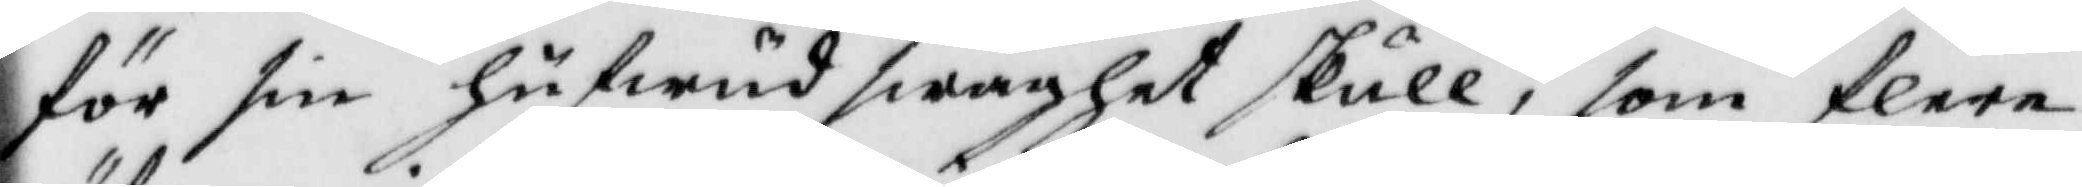för sin hufwudswaghet skull, som flere
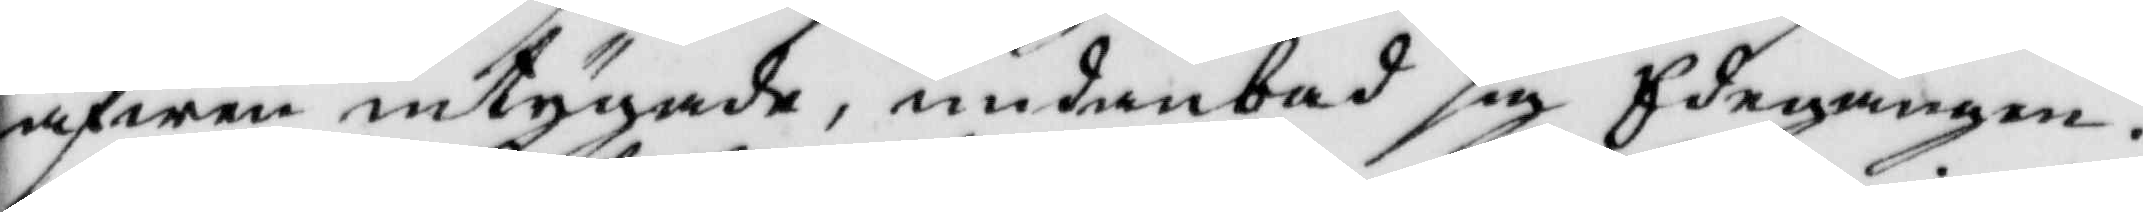äfwen intygade, undanbad sig Edegången.
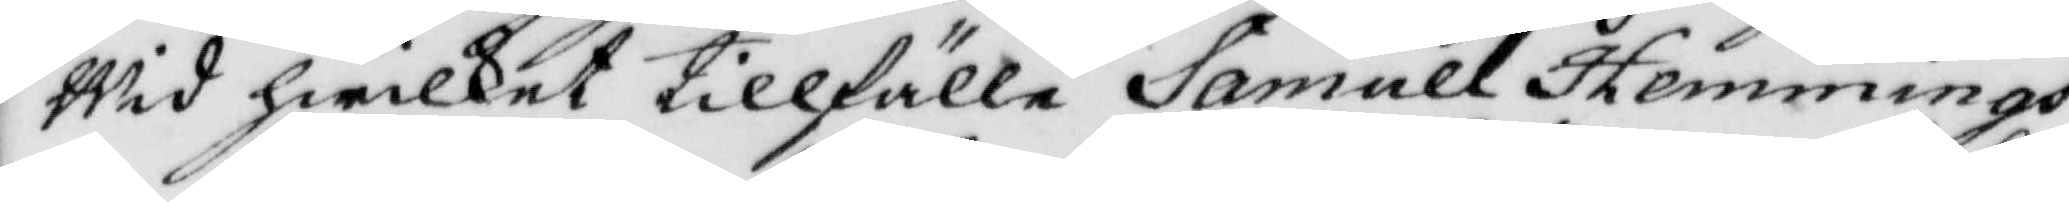Wid hwilket tillfälle Samuel Hemmings¬
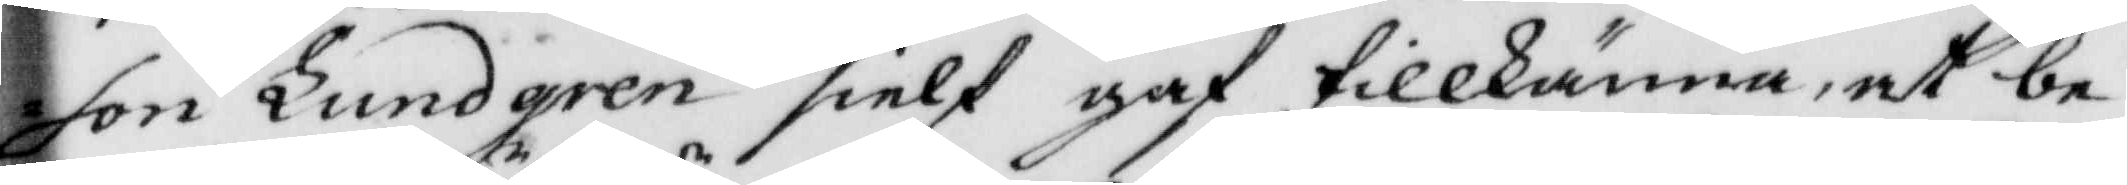son Lundgren sielf gaf tillkänna, at be¬
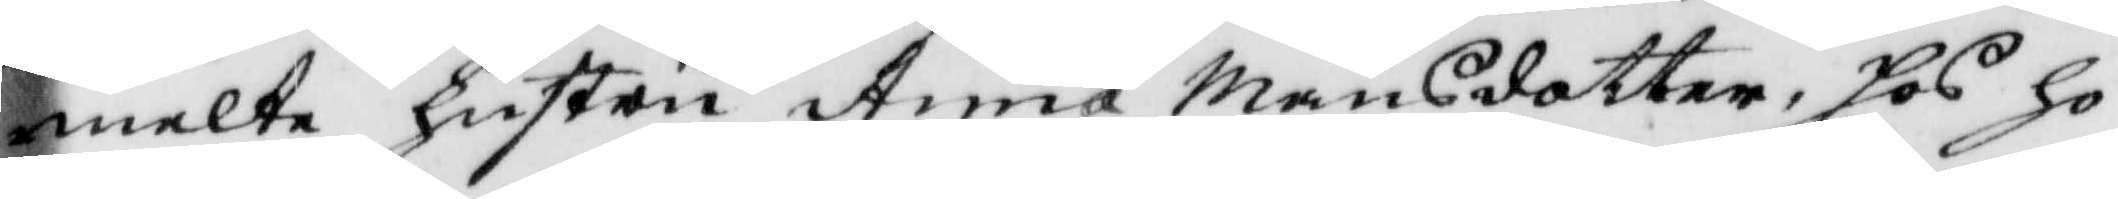melte hustru Anna Månsdotter, hos ho¬
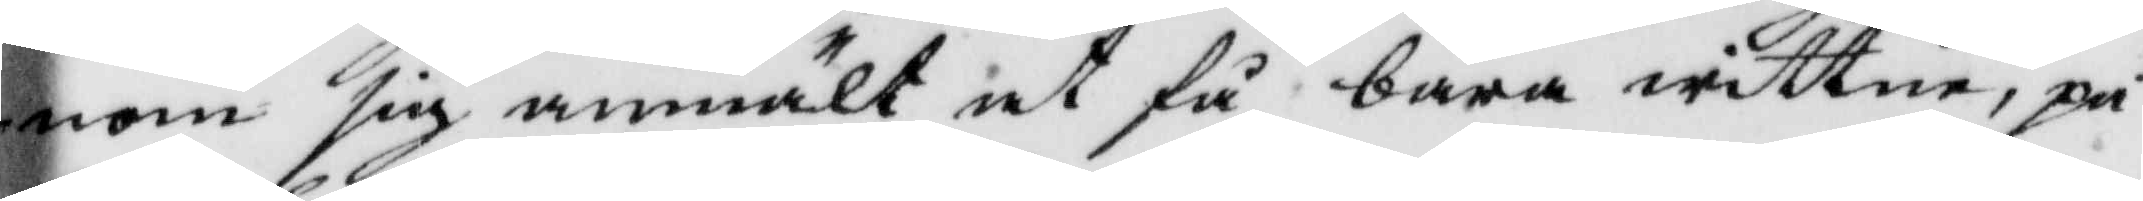nom sig anmält at få bära wittne, på
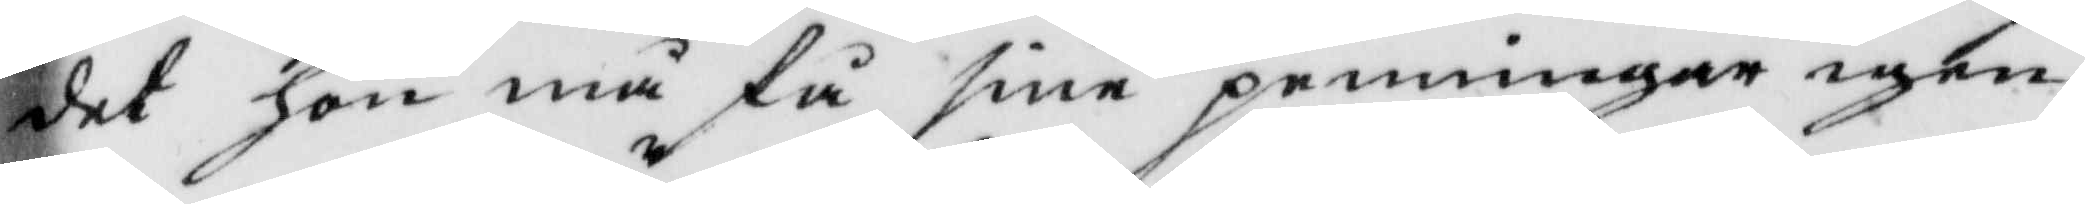det hon må få sine penningar igen
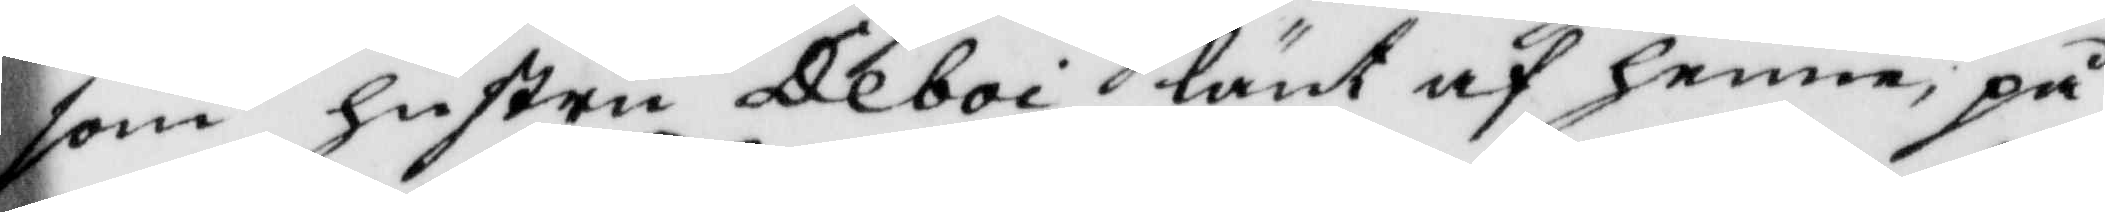som hustru Deboi länt af henne, på
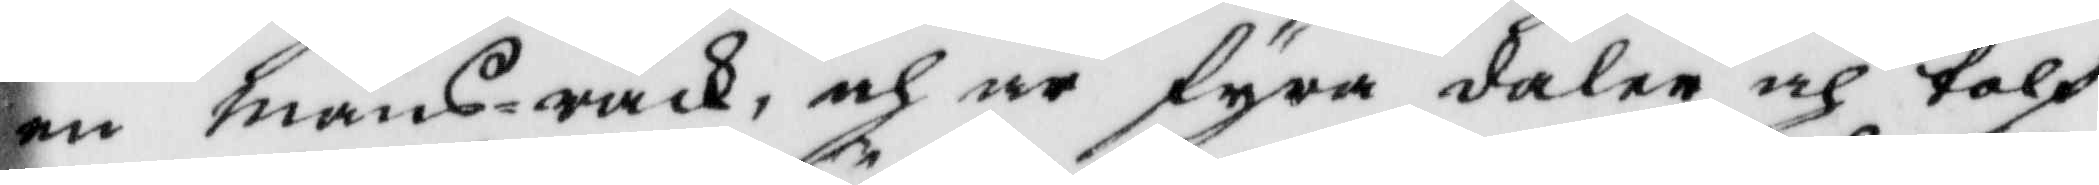en mans-råck, och är fyra daler och tolf
